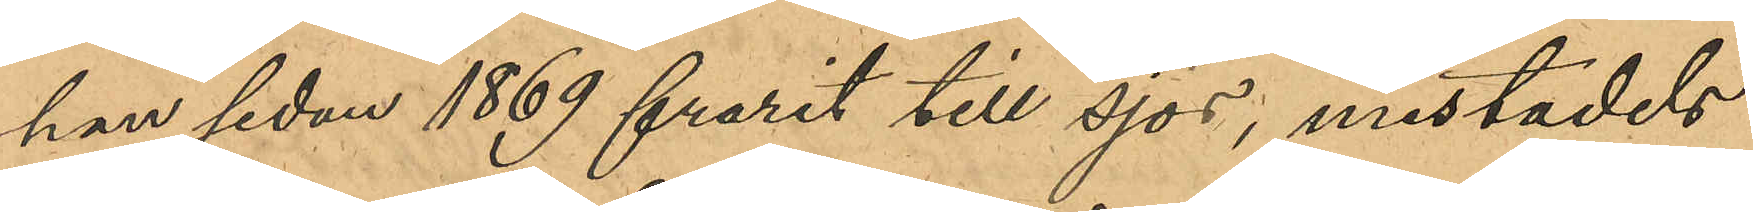han sedan 1869 hvarit till sjös; mestadels
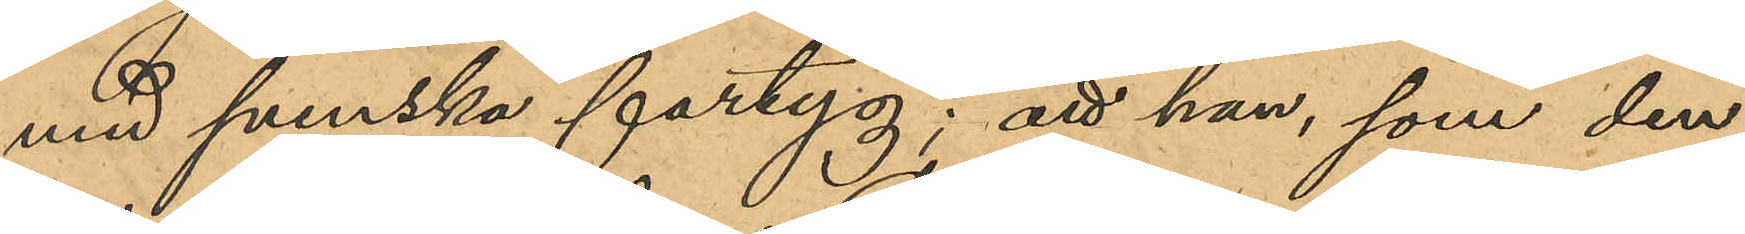vid svenska fartyg; att han, som den
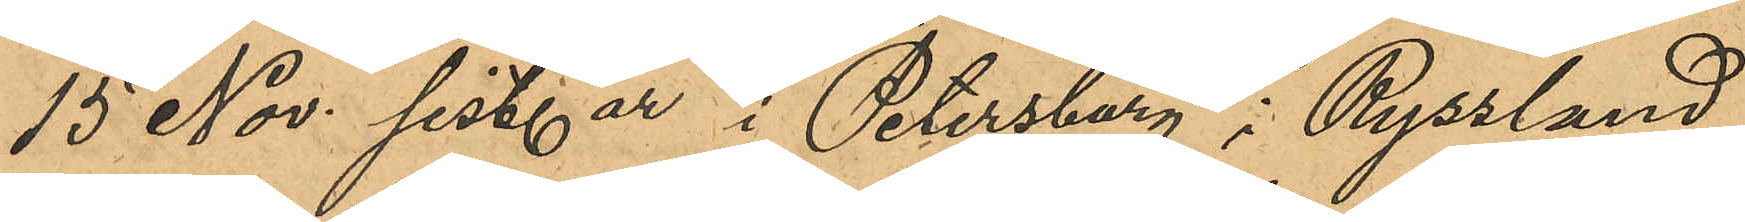15 Nov. sist. år i Petersburg i Ryssland
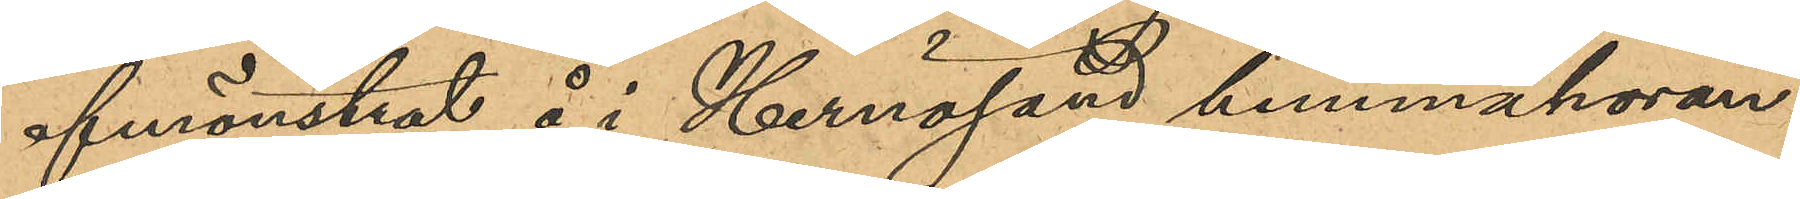afmönstrat å i Hernösand hemmahöran¬
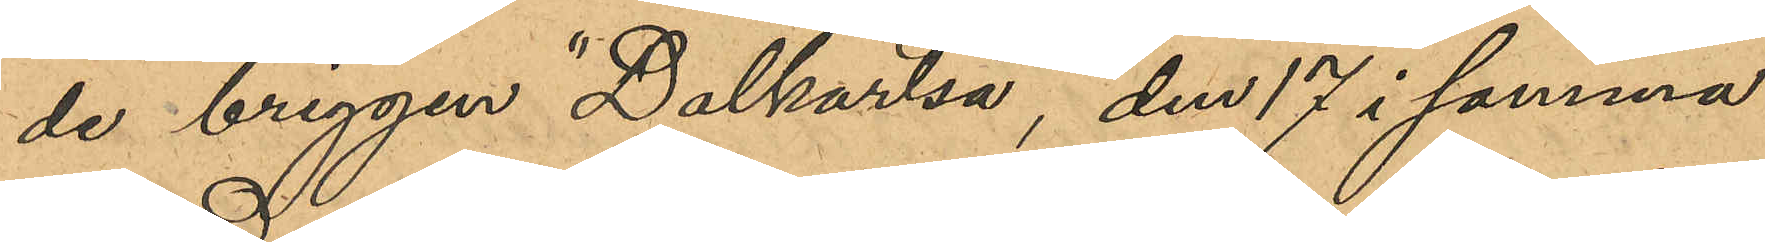de briggen "Dalkarlså", den 17 i samma
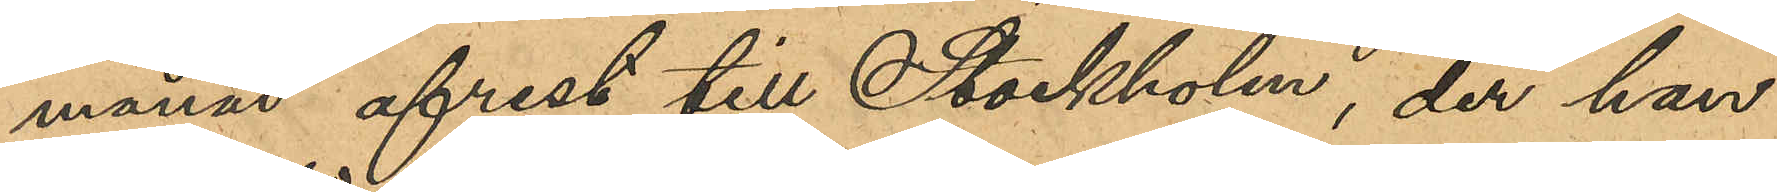månad afrest till Stockholm, der han
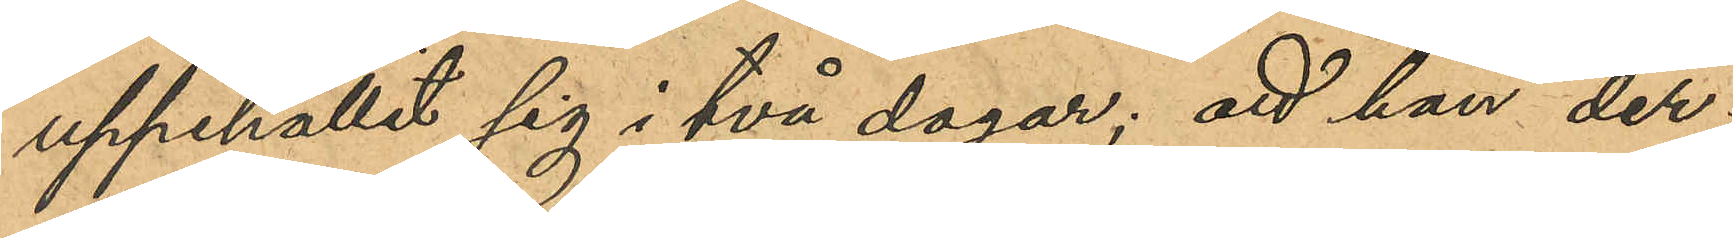uppehållit sig i två dagar; att han der¬
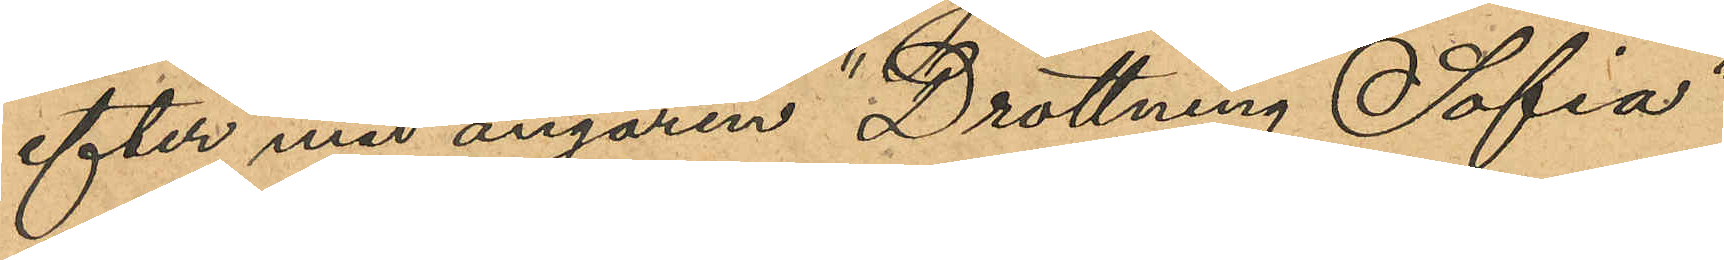efter med ångaren "Drottning Sofia"
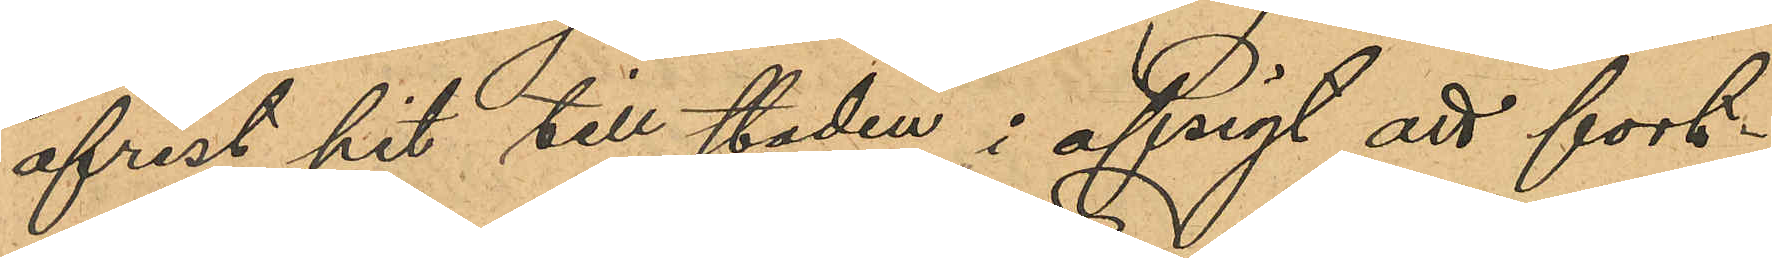afrest hit till staden i afsigt att fort¬
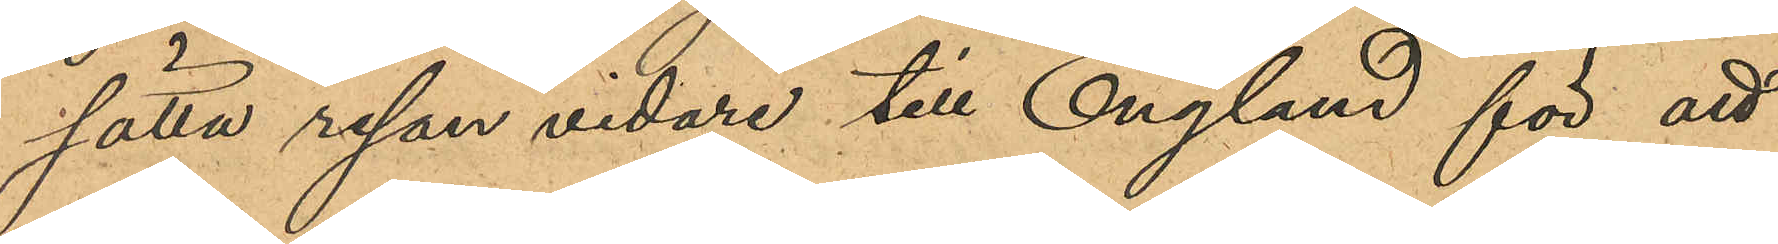sätta resan vidare till England för att
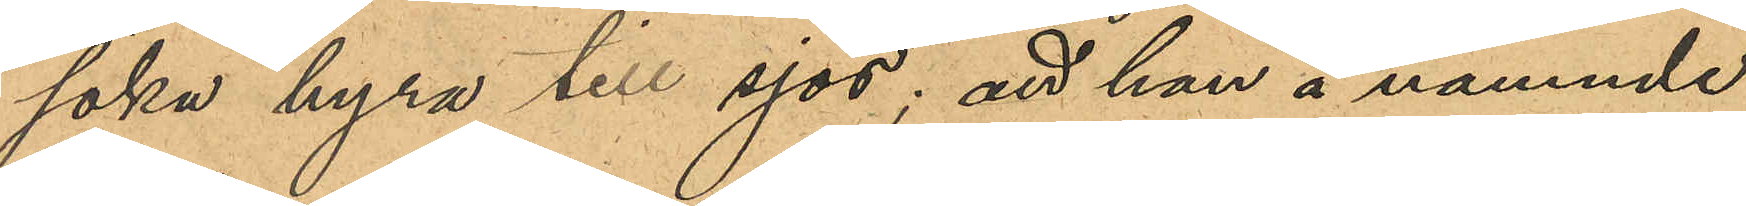söka hyra till sjös; att han å nämnde
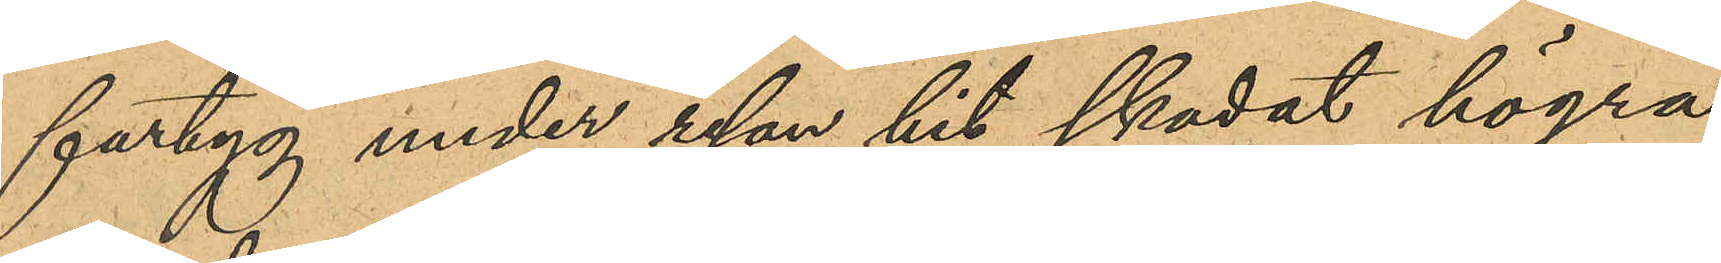fartyg under resan hit skadat högra
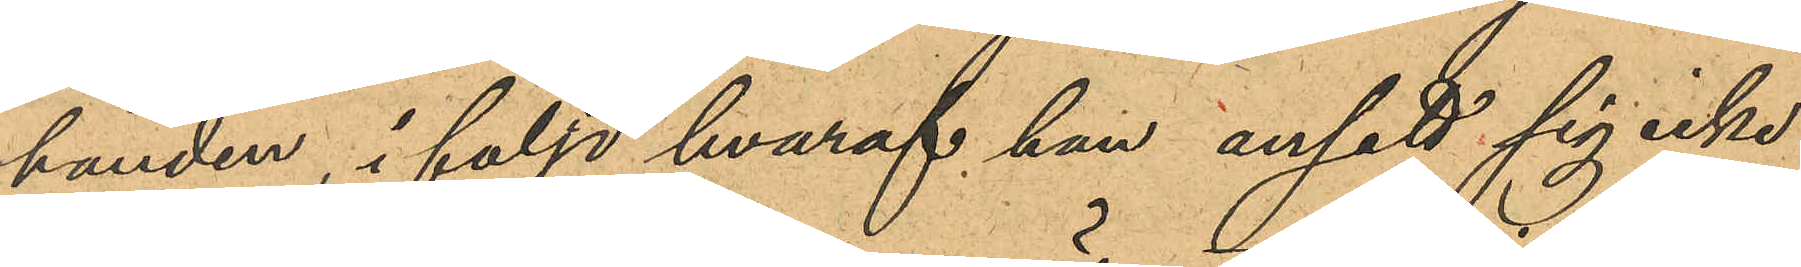handen, i följd hvaraf han ansett sig icke
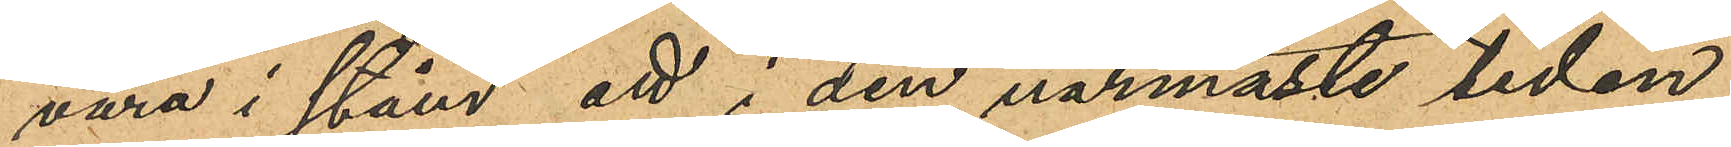vara i stånd att i den närmaste tiden
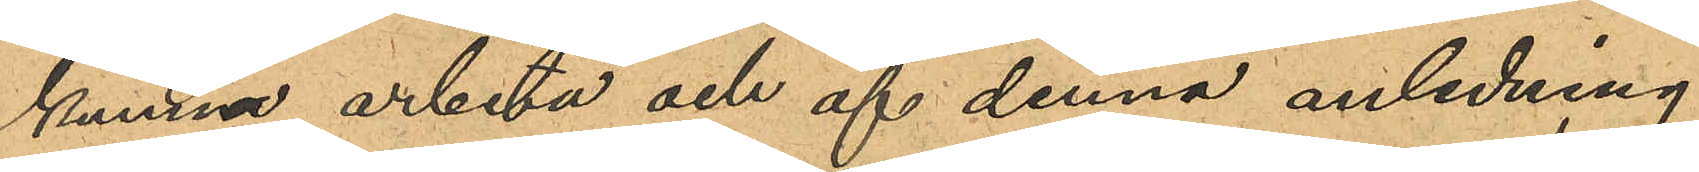kunna arbeta och af denna anledning
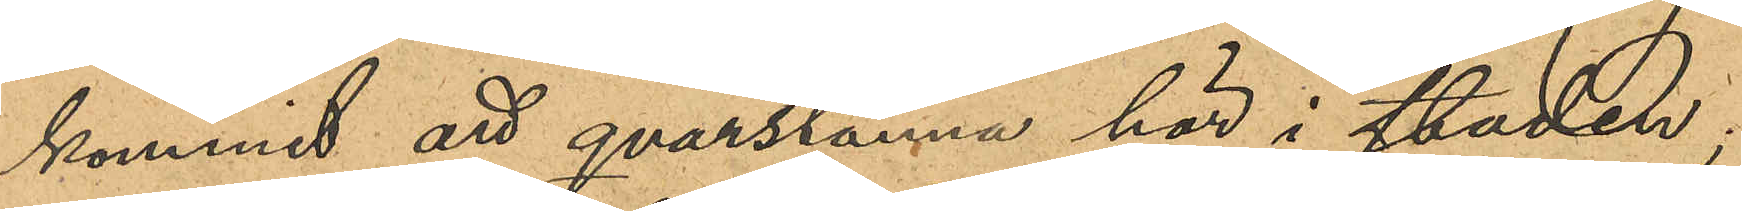kommit att qvarstanna här i staden;
